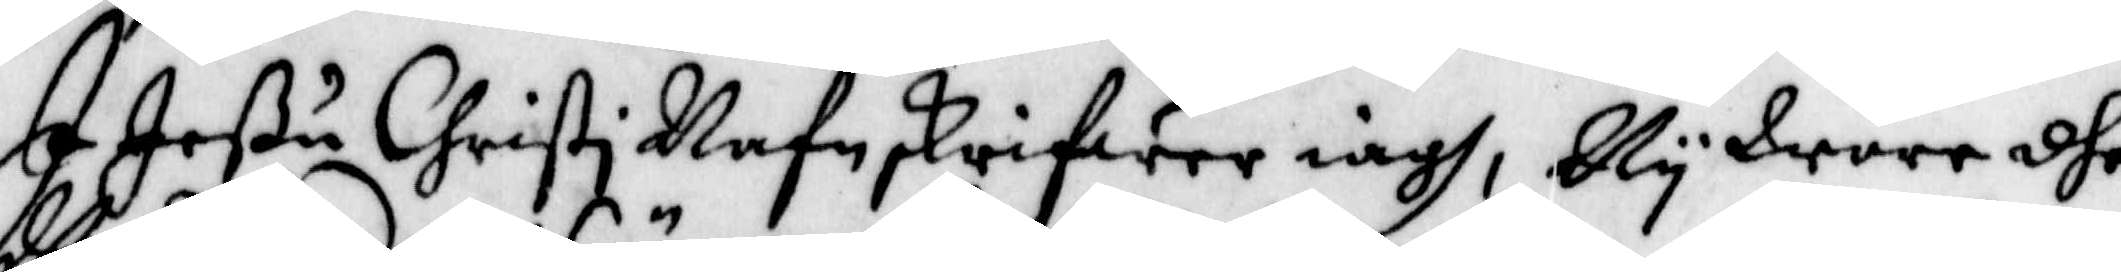I Jeßu Christi Nafn skrifwer iagh, Wy Wore dhe
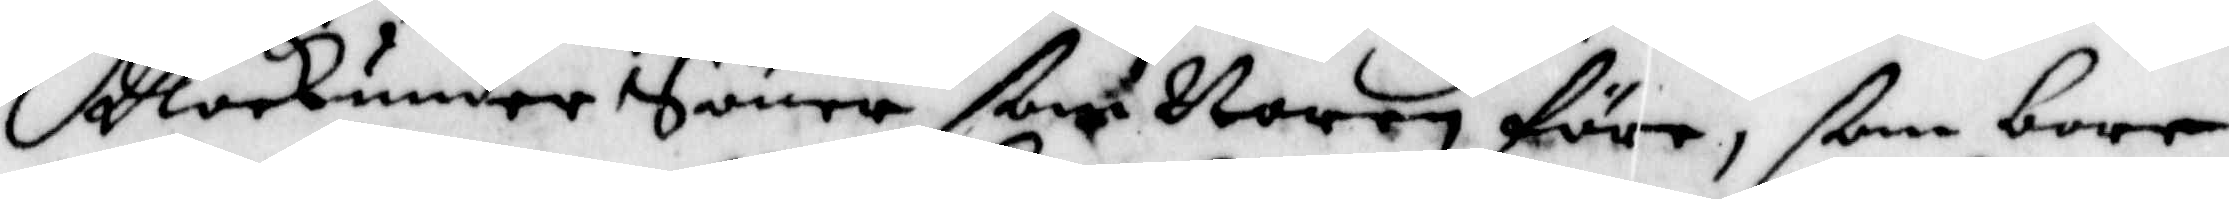Vockunder Söner som Voren före, ßom boer
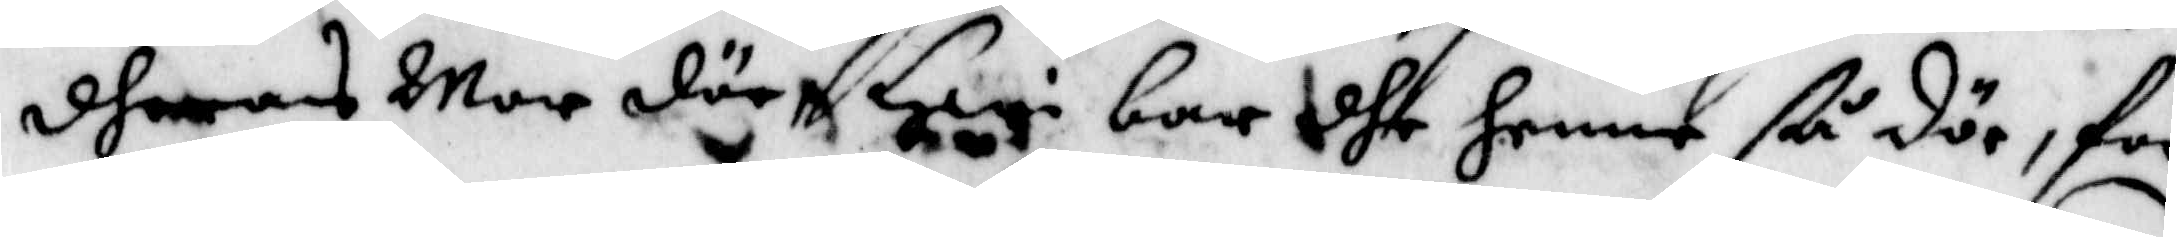dheras Mor där Hwi bor dhe henne ßå döe, för
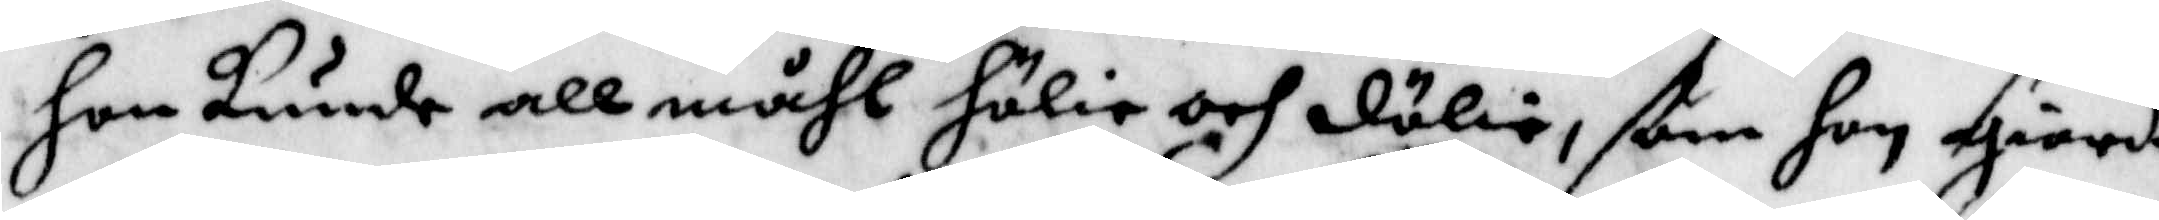hon kunde allmåhl hölia och dölie, ßom hon giorde
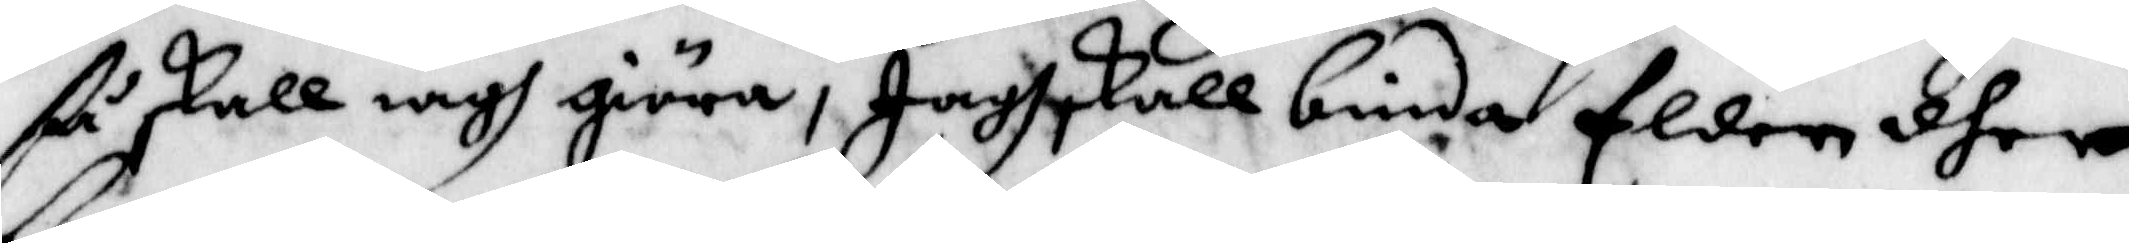ß skall iagh giöra, Jagh skall binda Elden dher
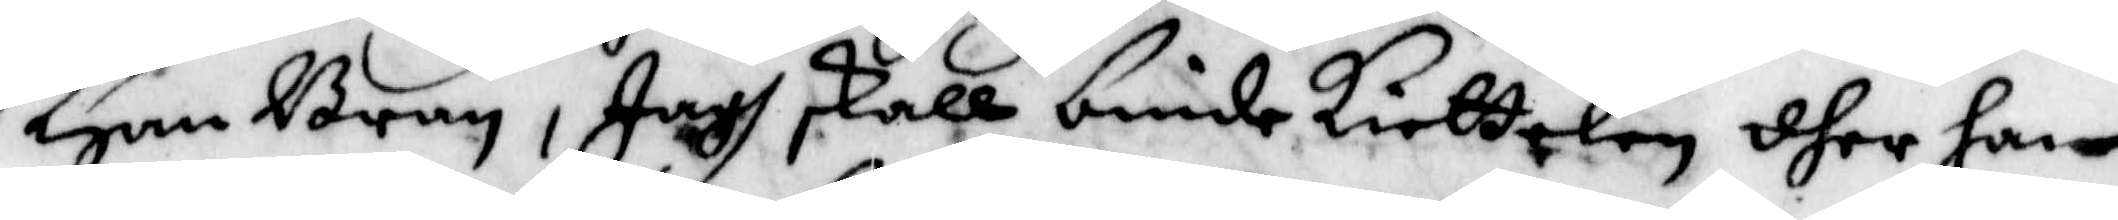Hon Bran, Jagh skall binde kiettelen dher hon
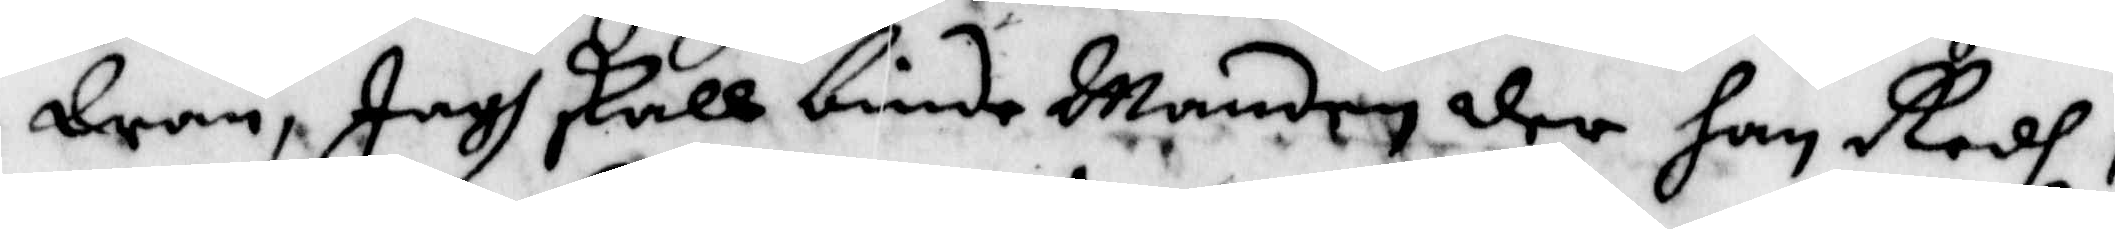Dran, Jagh skall binda Manden der han Redh,
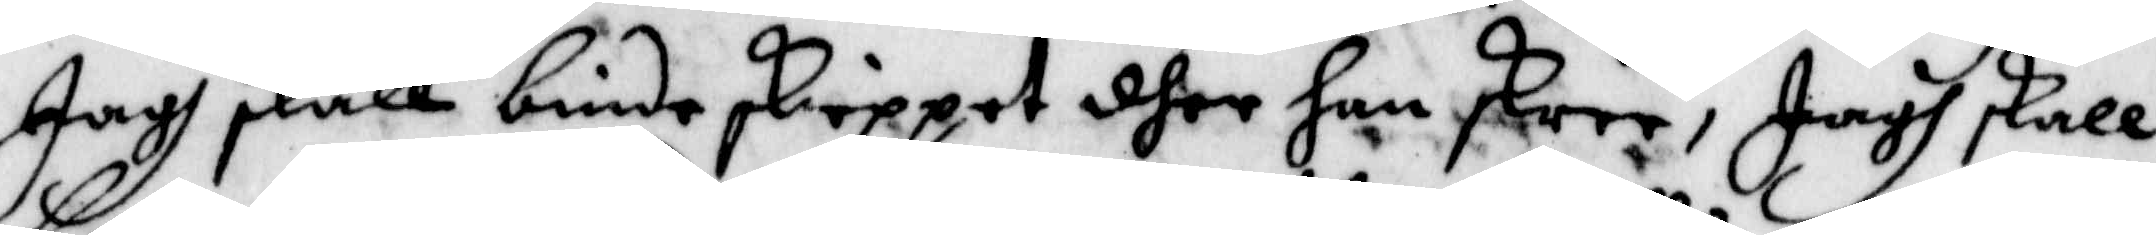Jag skall binda Skippet dher han skree, jagh skall
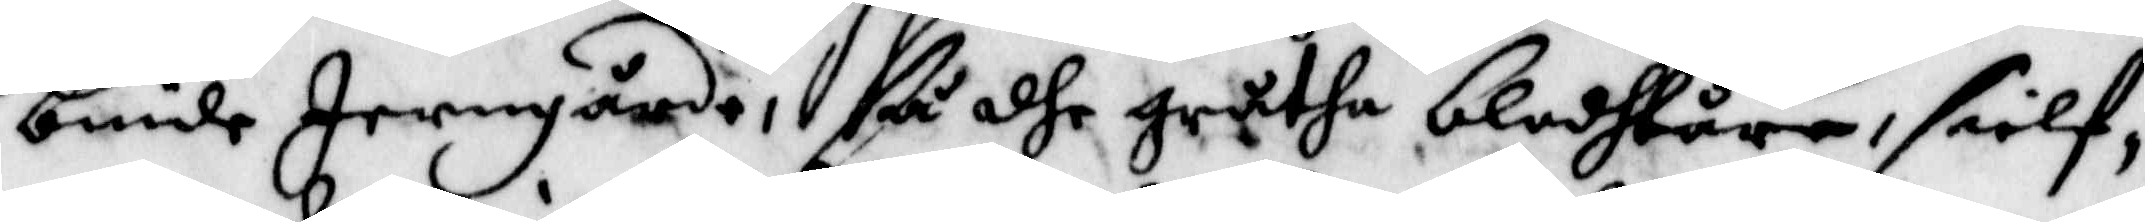binda Jerngårde, ßå dhe gråtha blodhtårar, sielf,
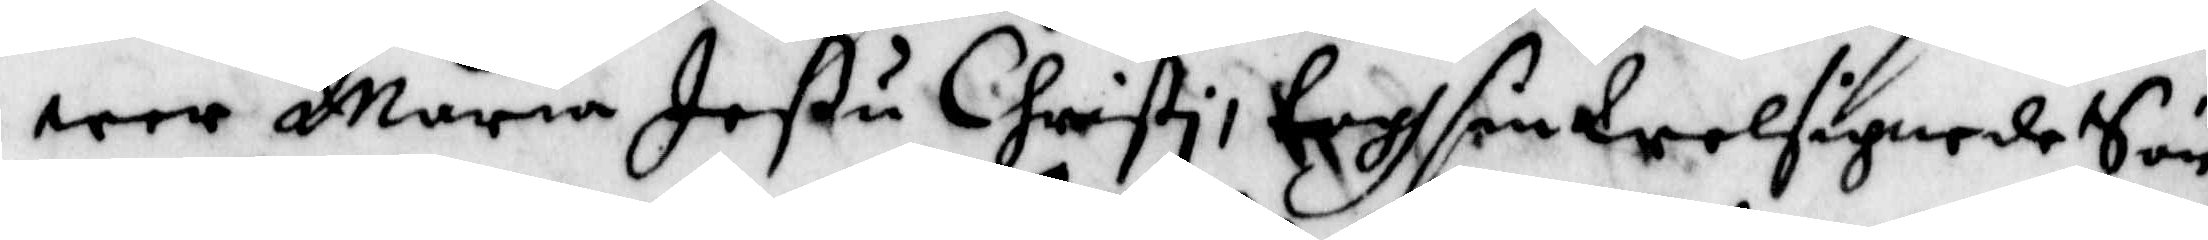wer Maria Jeßu Christi, togh sin Weösignede Sön
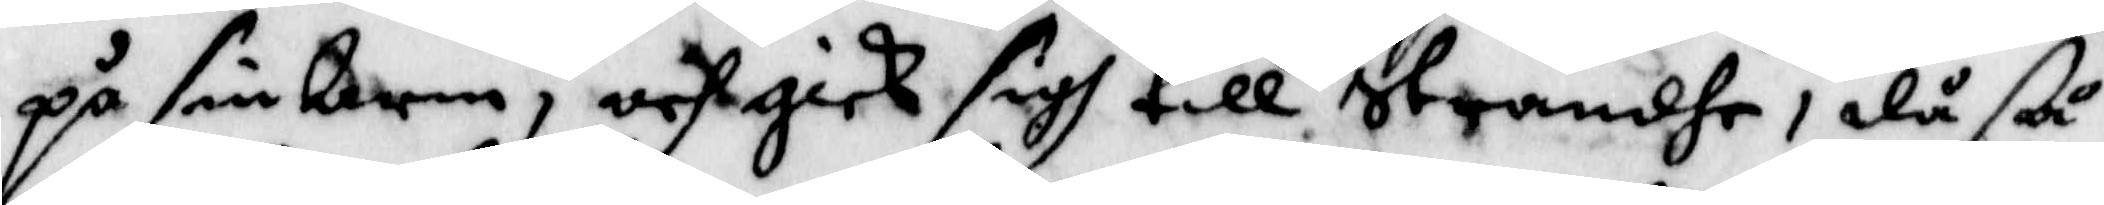på sin Arm, och gick sigh till strandhe, då ßå
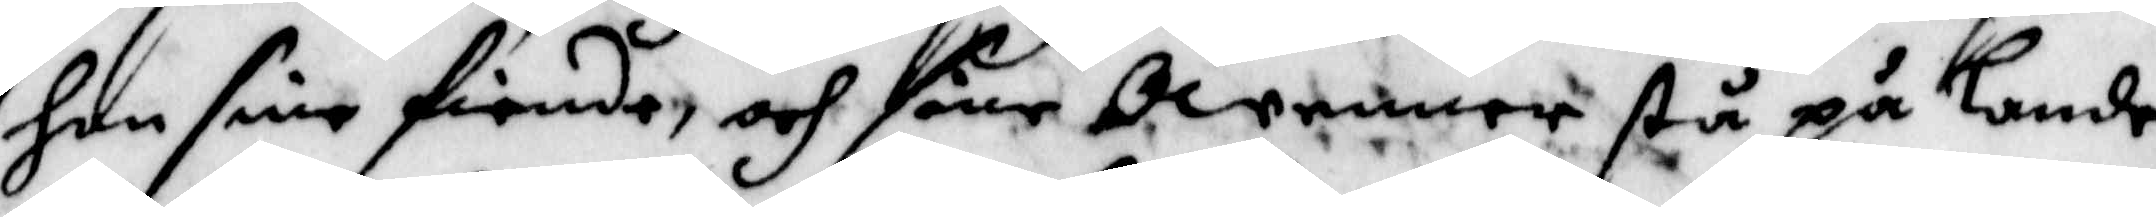hon sine fiende, och owenner stå på Lande,
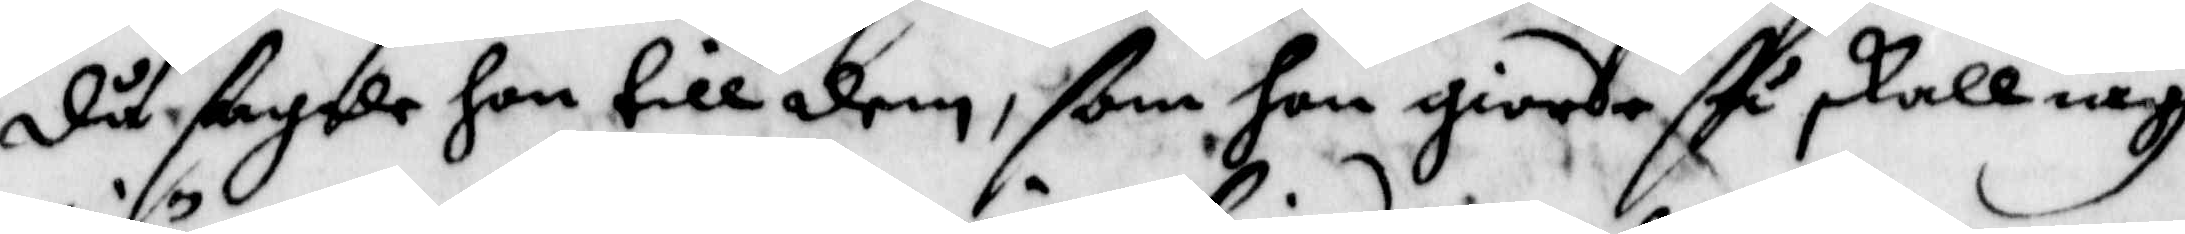då sagde hon till dem, ßom hon giorde ßå skall iagh
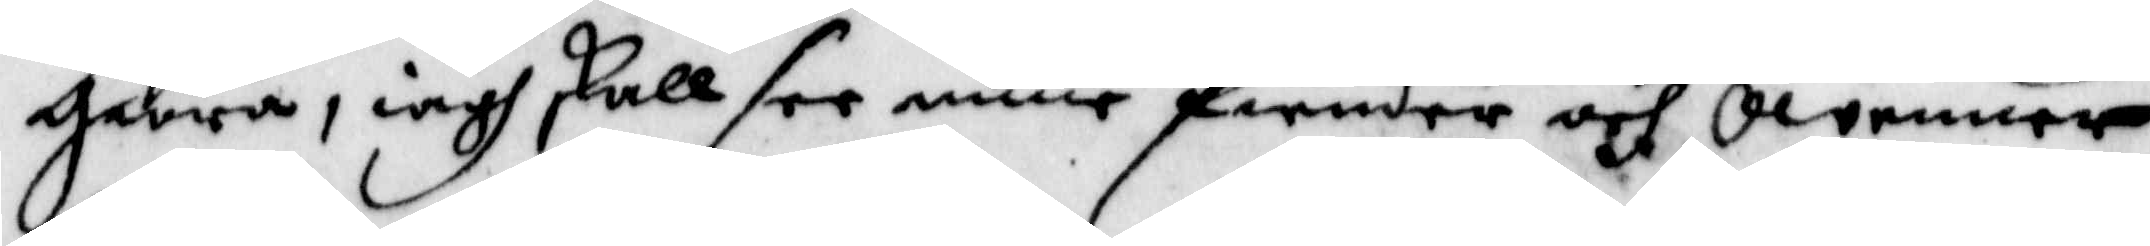giöra, iagh skall see mine fiender och owenner
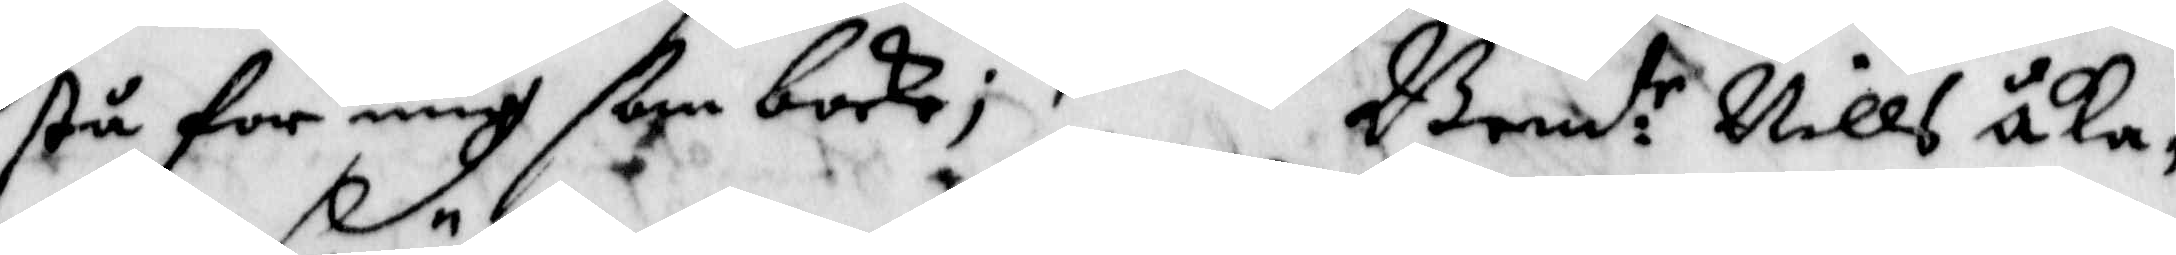stå for migh ßom bocke; Bend:te Nills Åka¬
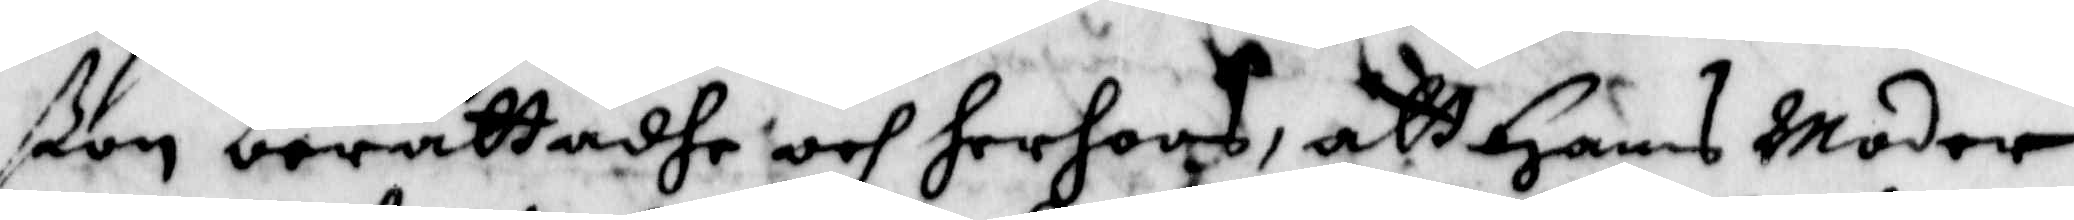ßon berättadhe och herhoos, att Hans Moder
